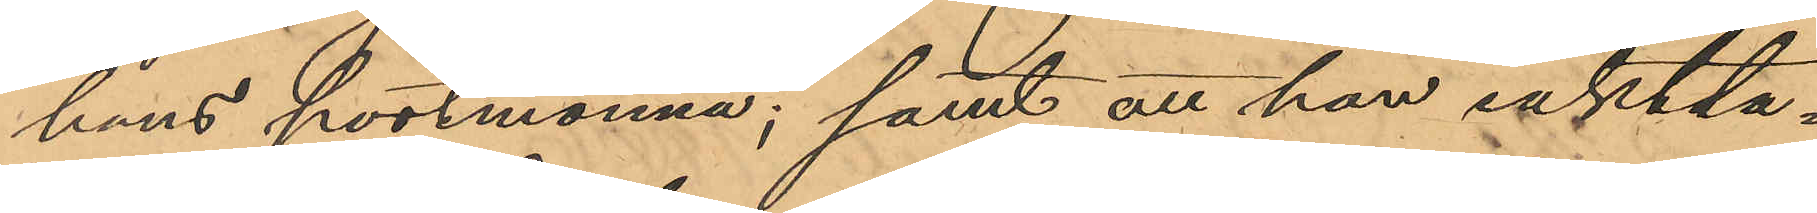hans portmonnä; samt att han iaktta¬
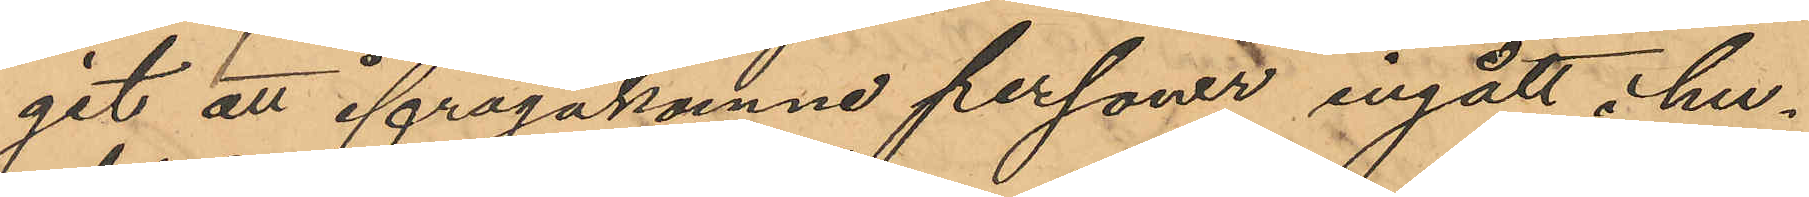git att ifrågakomne personer ingått i hu¬
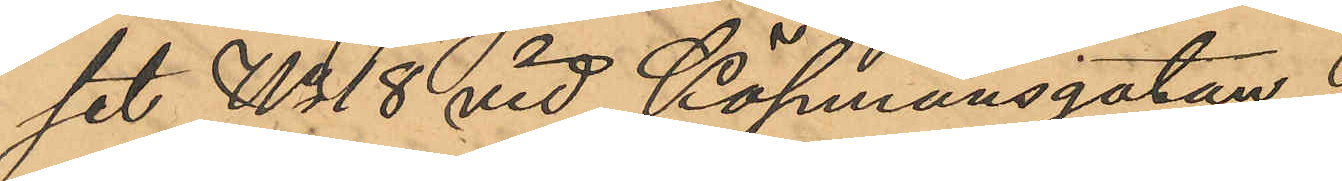set No 18 vid Köpmansgatan.
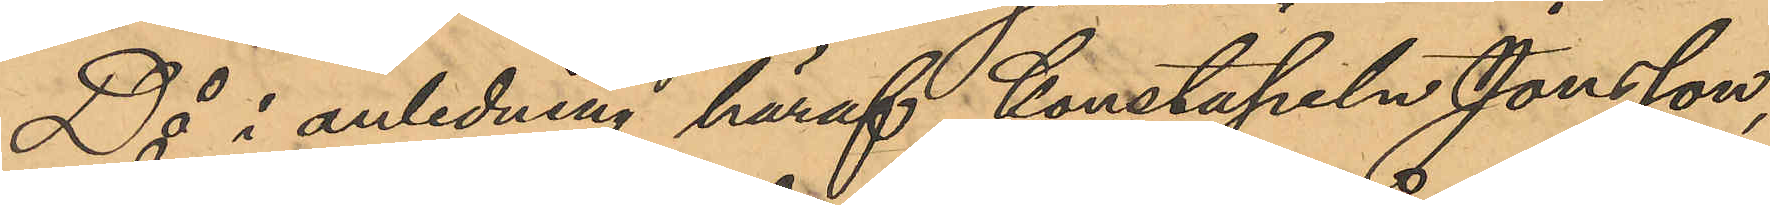Då i anledning häraf Konstapeln Jonsson,
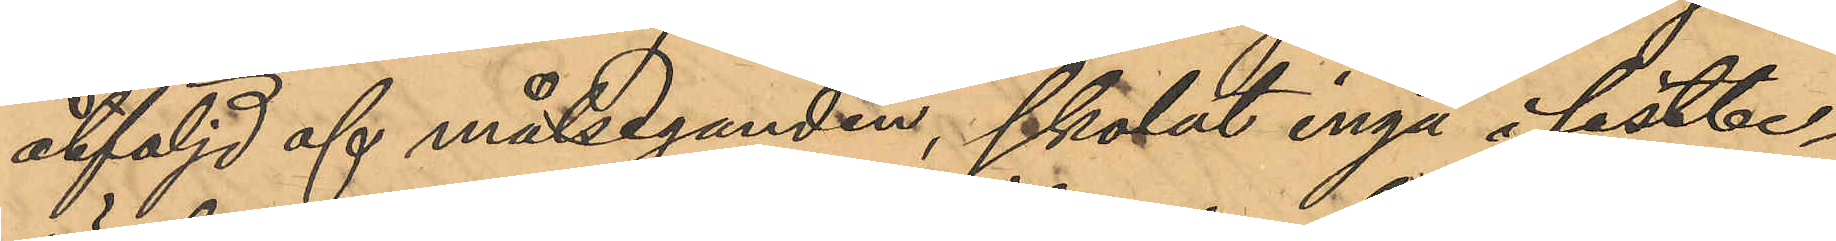åtföljd af målseganden, skolat ingå i sistbe¬
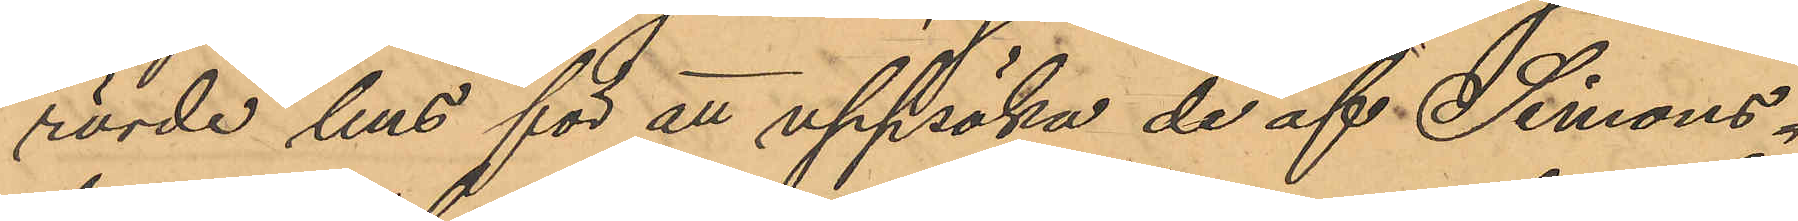rörde hus för att uppsöka de af Simons¬
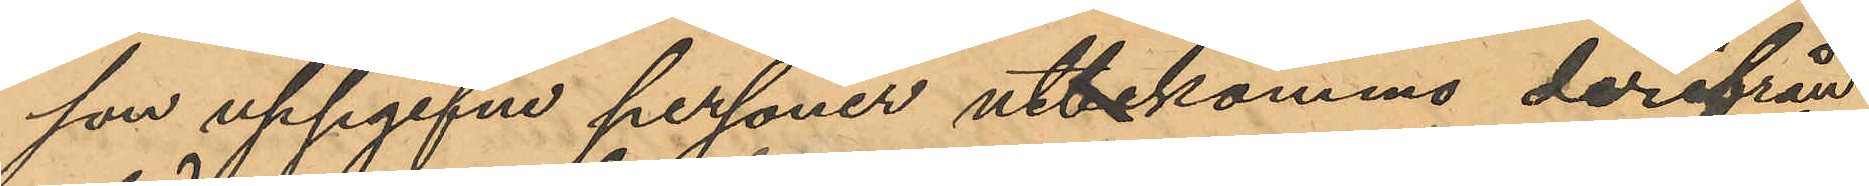son uppgifne personer utkommo derifrån
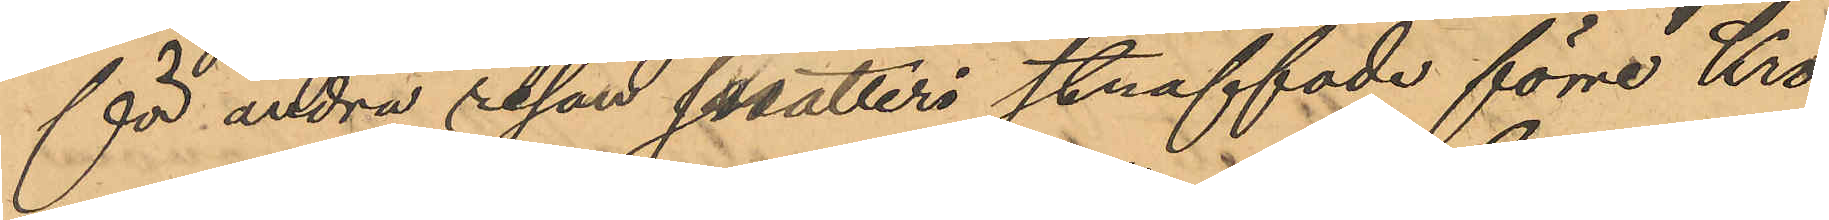för andra resan snatteri straffade förre Kro¬
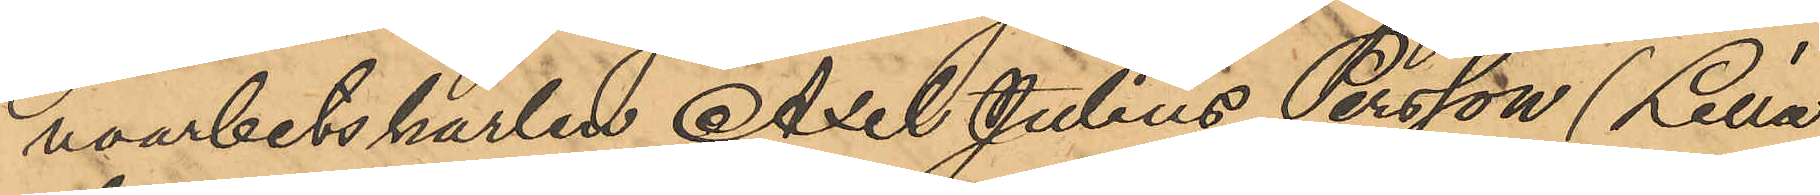noarbetskarlen Axel Julius Persson (Lilla
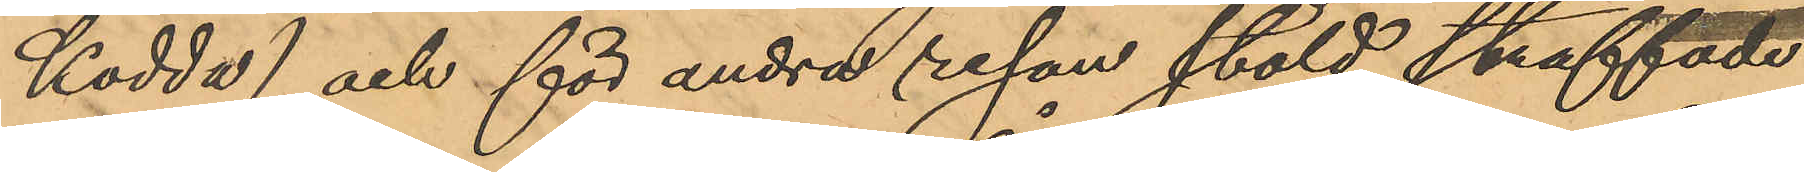Kodda) och för andra resan stöld straffade
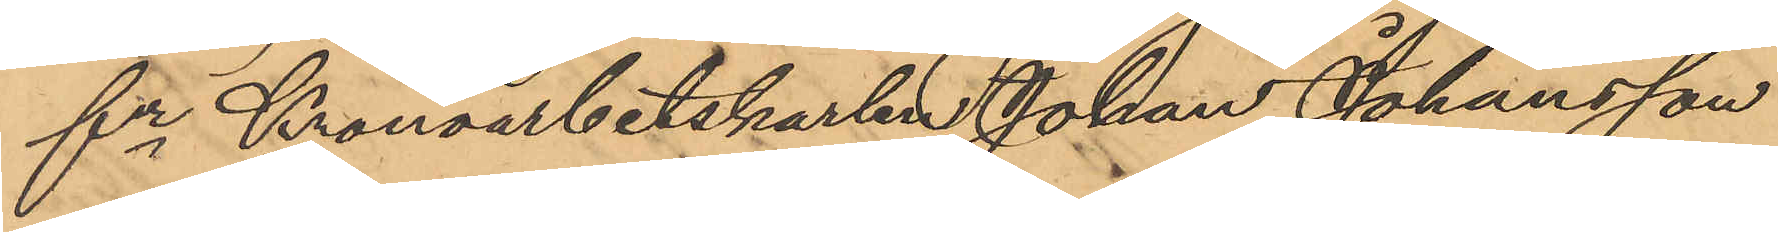fre Kronoarbetskarlen Johan Johansson
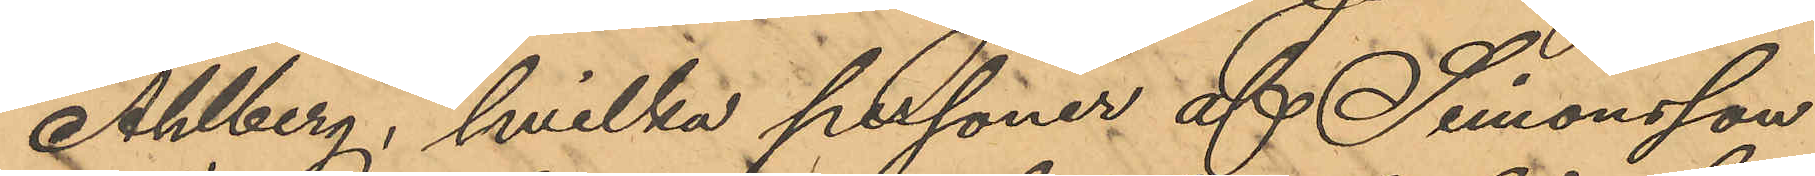Ahlberg, hvilka personer af Simonsson
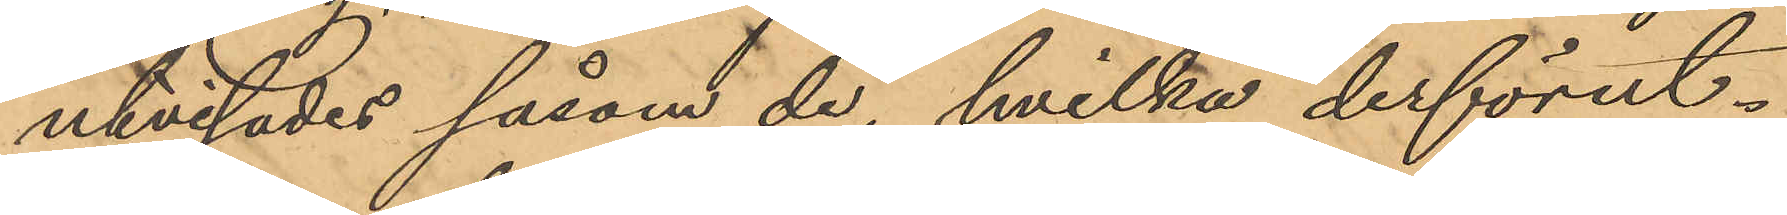utvisades såsom de, hvilka derförut¬
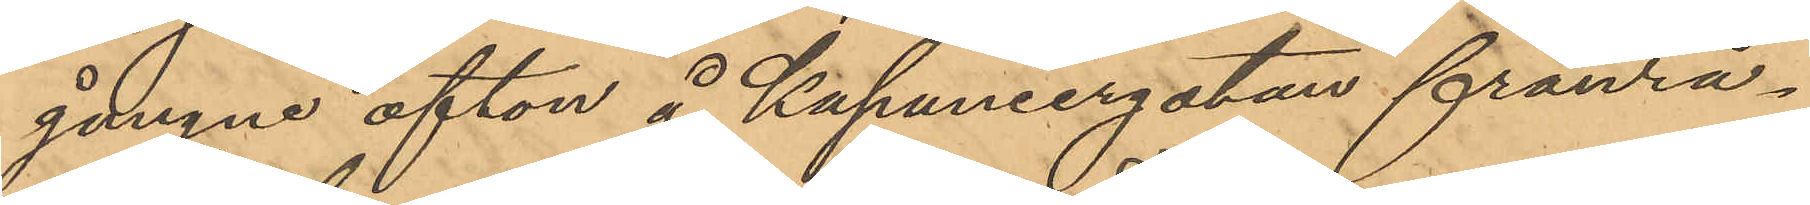gångne afton å Kapuniergatan frånrå¬
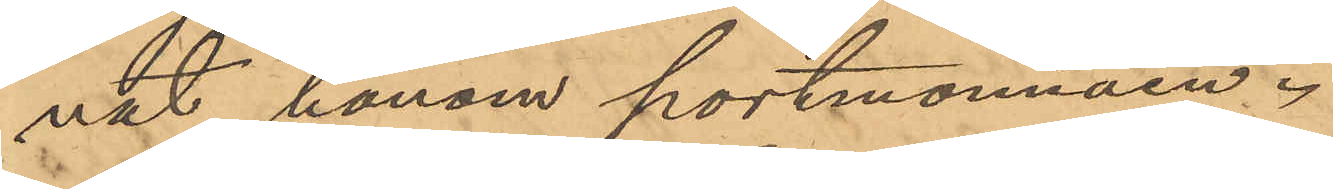nat honom portmonnäen.
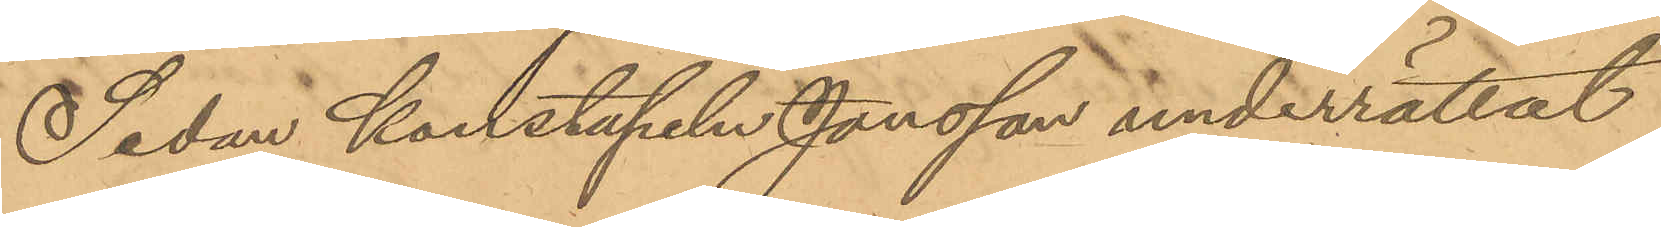Sedan Konstapeln Jonsson underrättat
